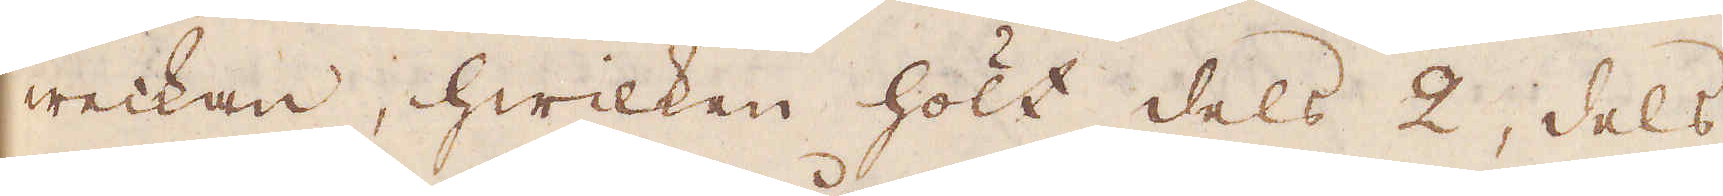weckan, hwilken hölt dels 2, dels
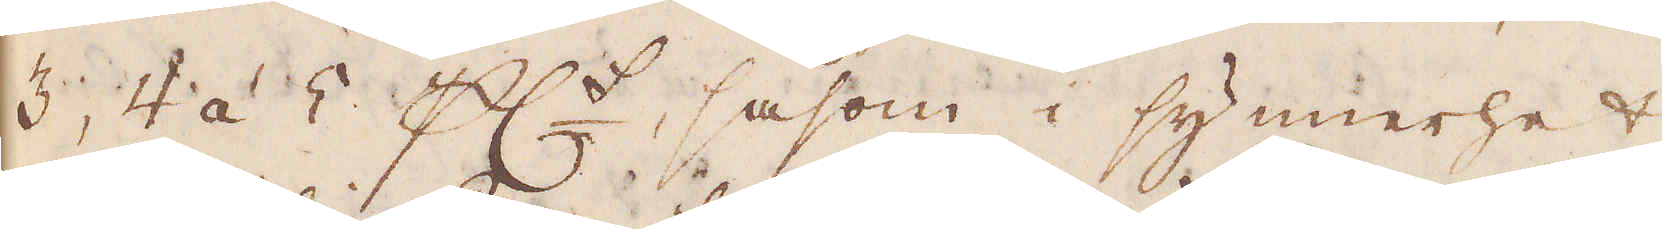3, 4 á 5 p C:t, såsom i synnerhet,
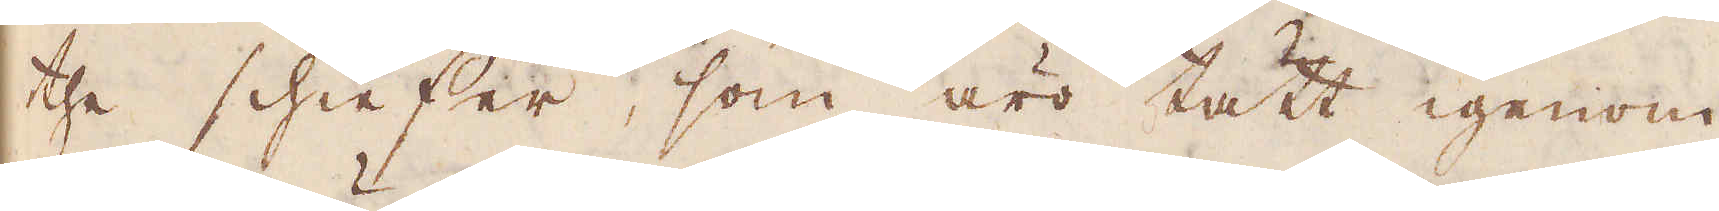the schieffer, som äro tätt igenom
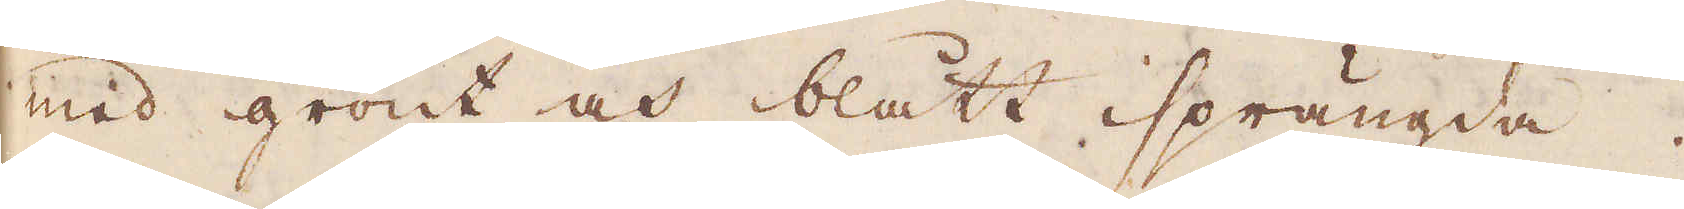med grönt och blått isprängda.
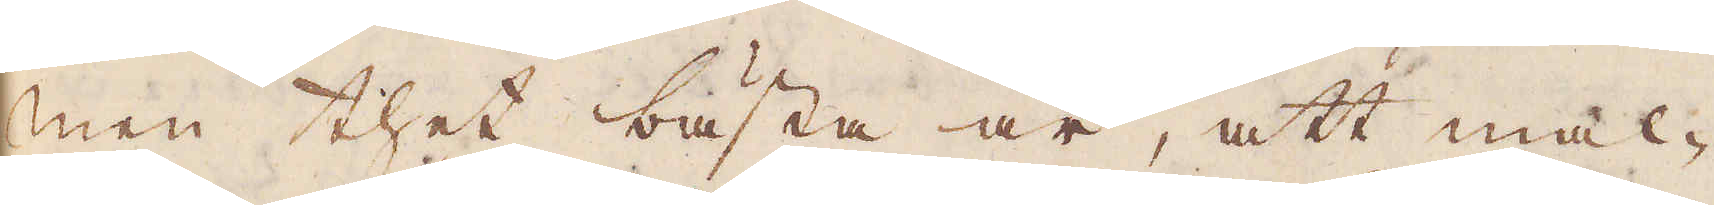Men thet bästa är, att mal-
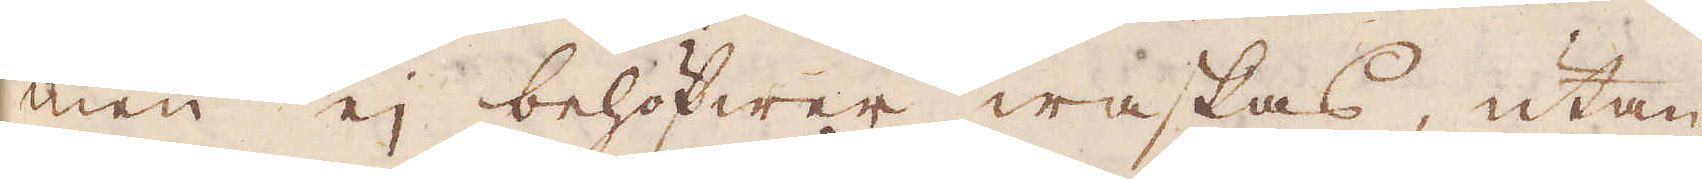men ej behöfwer waskas, utan
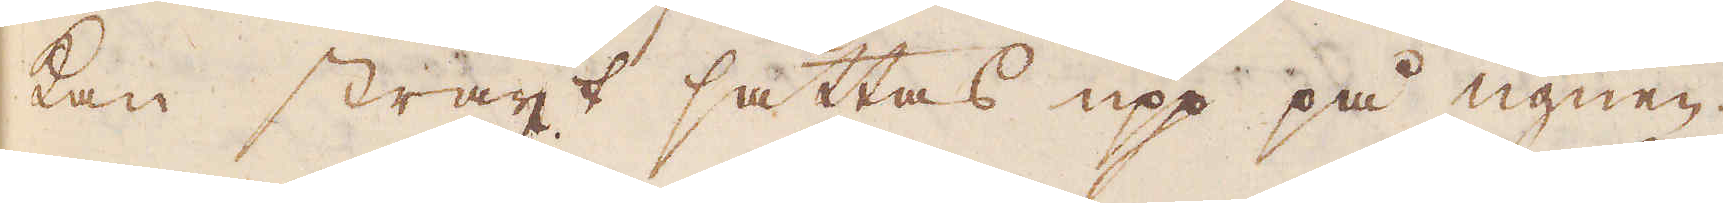kan straxt sättas upp på ugnen
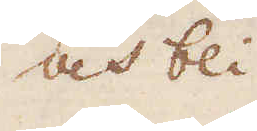och bli-
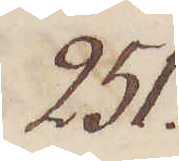251.
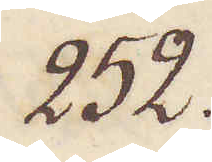252.
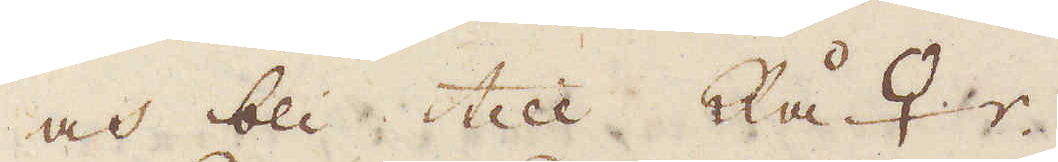och bli till Rå ♀r.
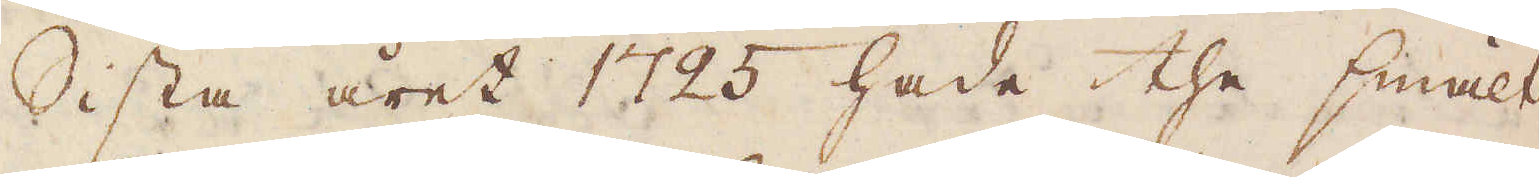Sista året 1725 hade the smält
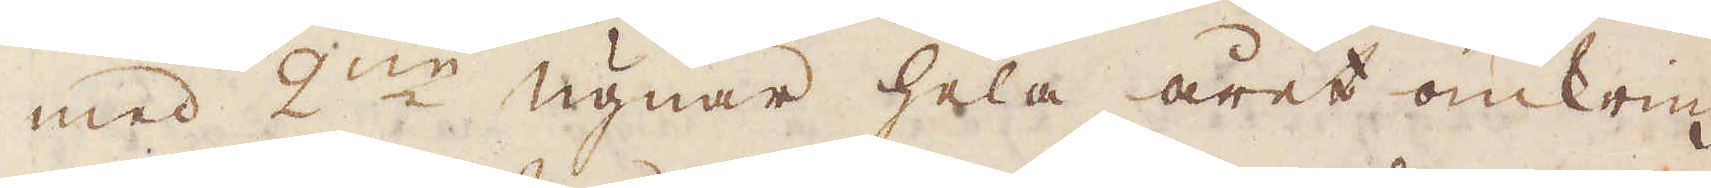med 2:ne ugnar hela året omkring
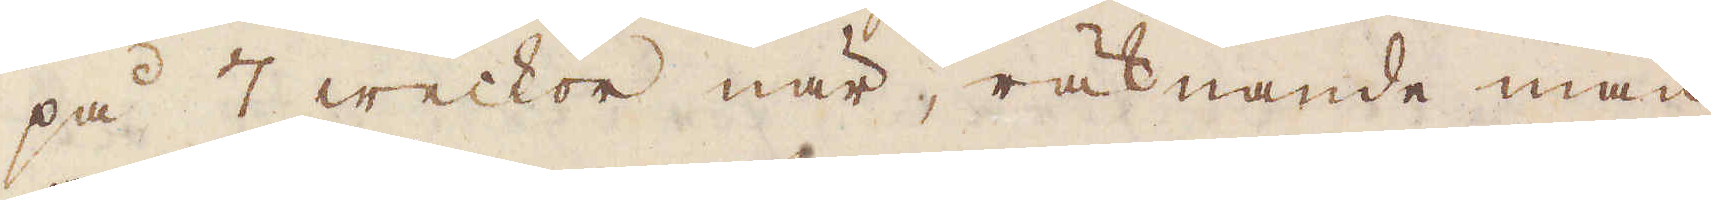på 7 weckor när, räknande man
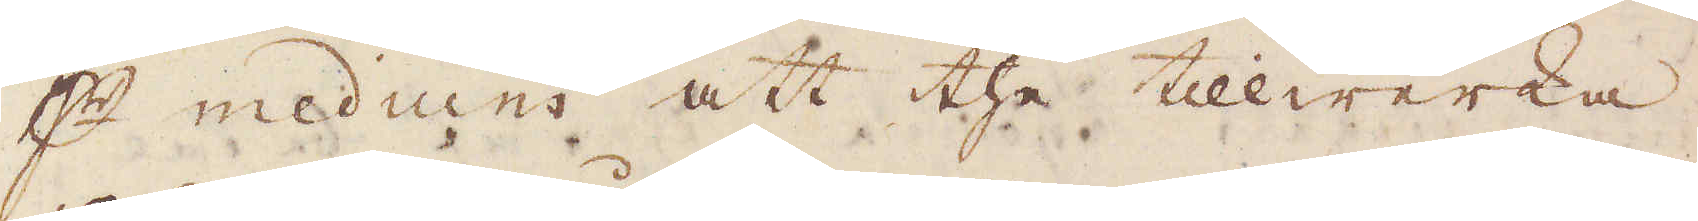p meduim att the tillwerka
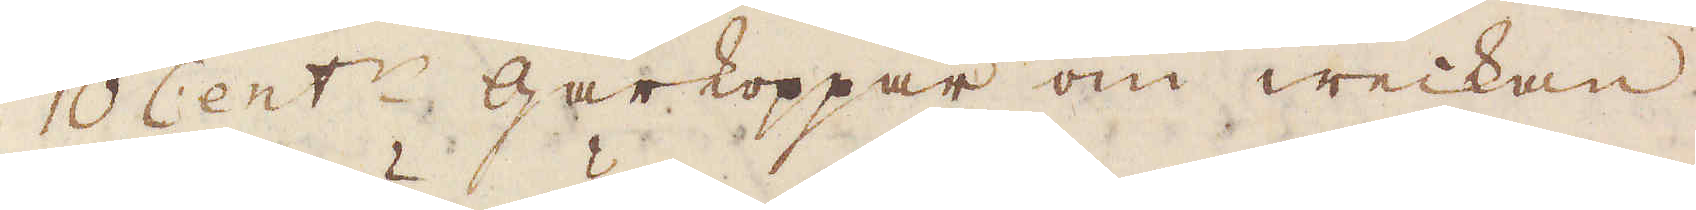10 Cent:r gårkoppar om weckan,
